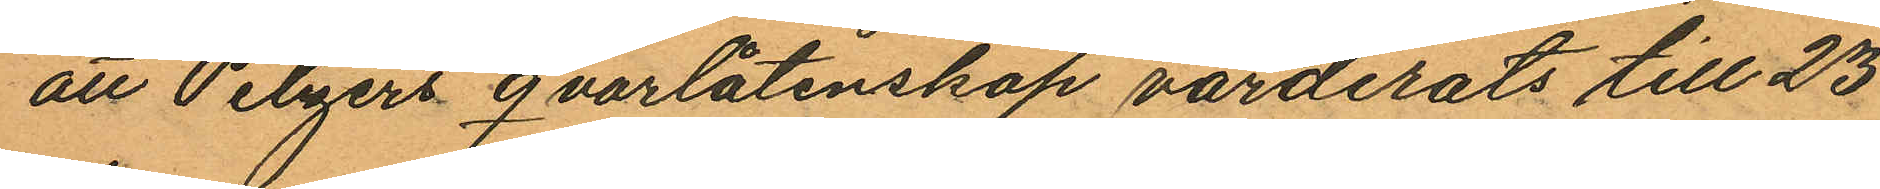att Pelzers qvarlåtenskap värderats till 23
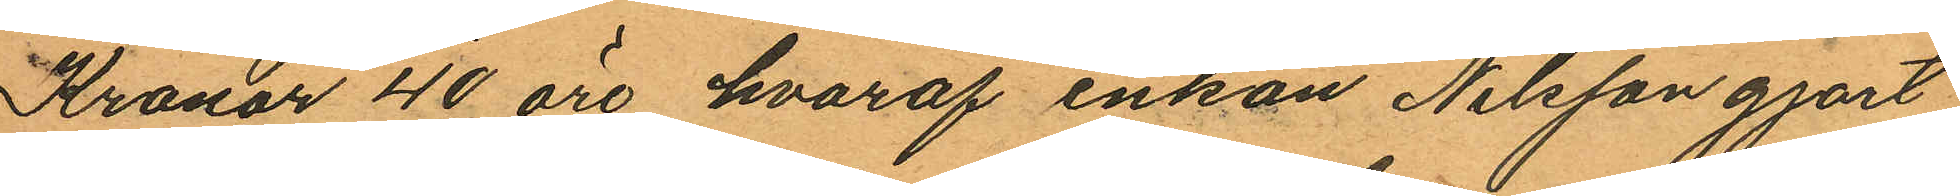Kronor 40 öre, hvaraf enkan Nilsson gjort
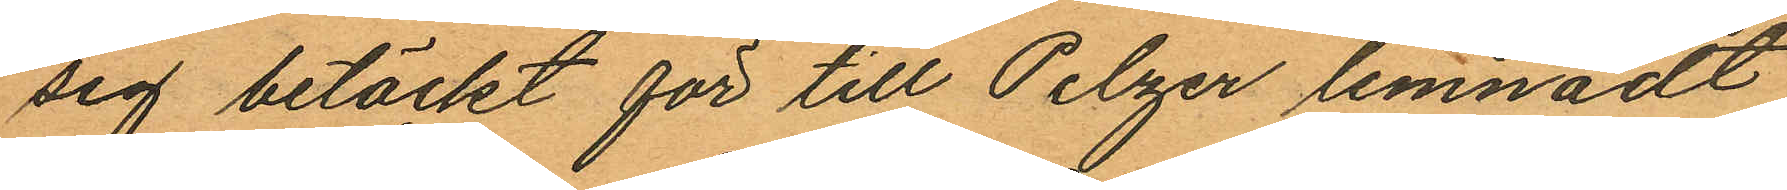sig betäckt för till Pelzer lemnadt
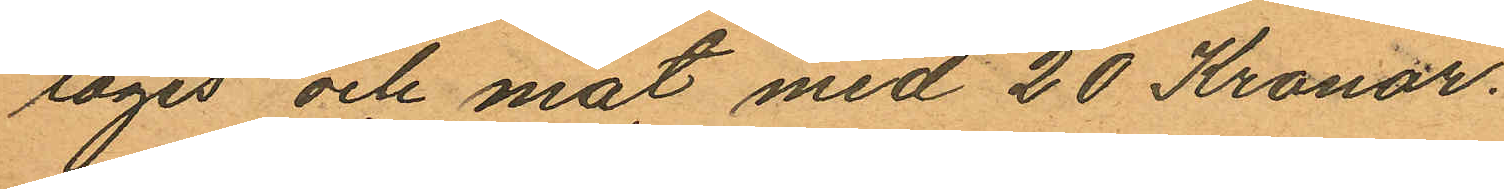logis och mat med 20 Kronor.
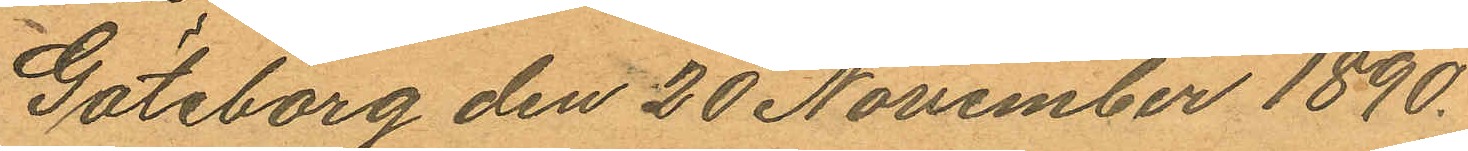Göteborg den 20 November 1890.
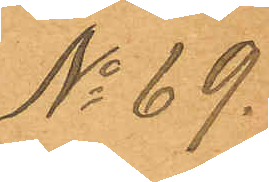No 69.
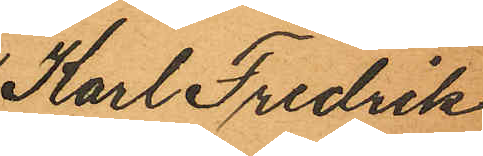Karl Fredrik
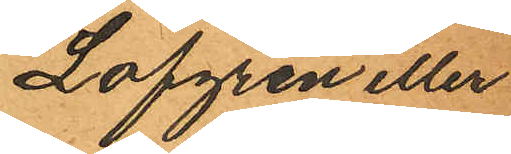Löfgren eller
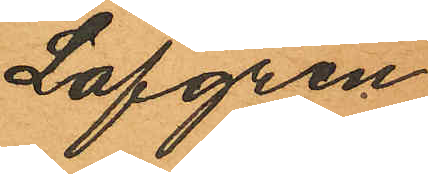Lofgren
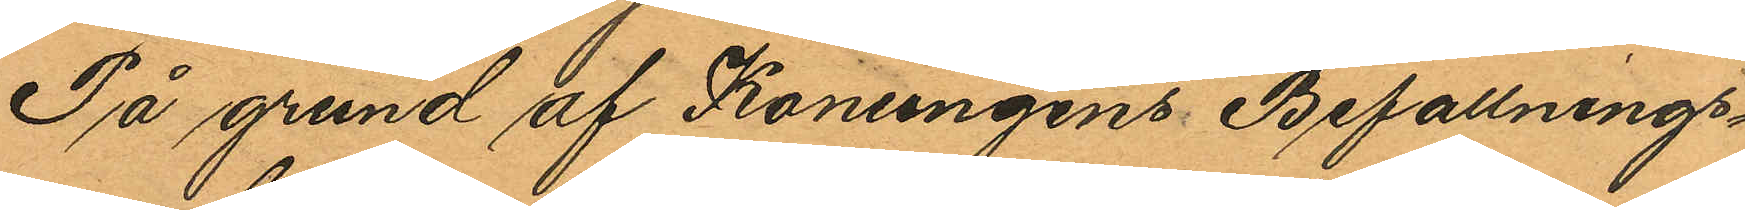På grund af Konungens Befallnings¬
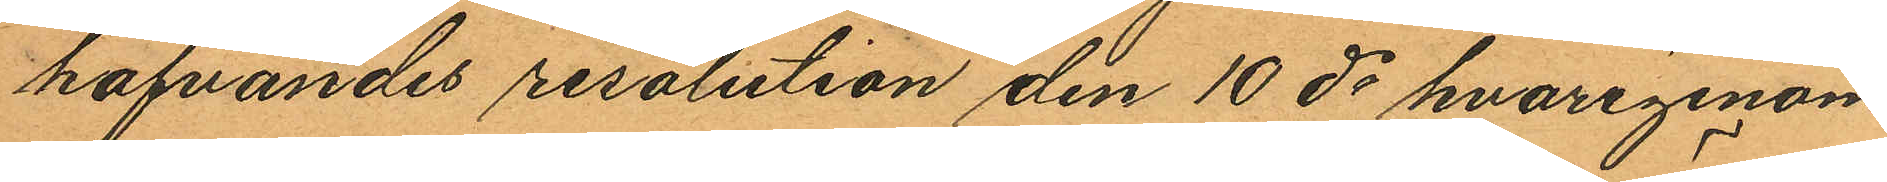hafvandes resolution den 10 ds hvarigenom
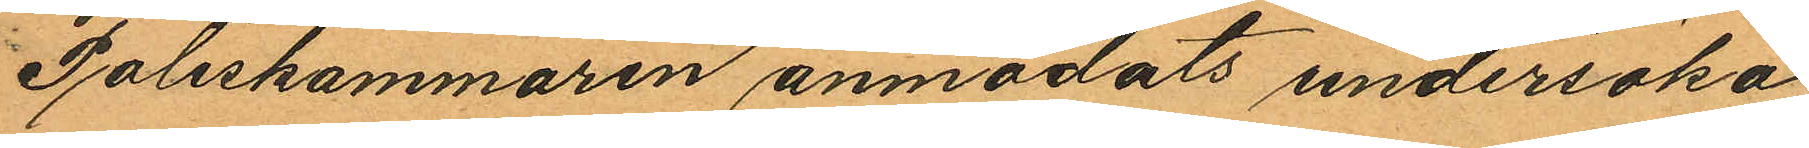Poliskammaren anmodats undersöka
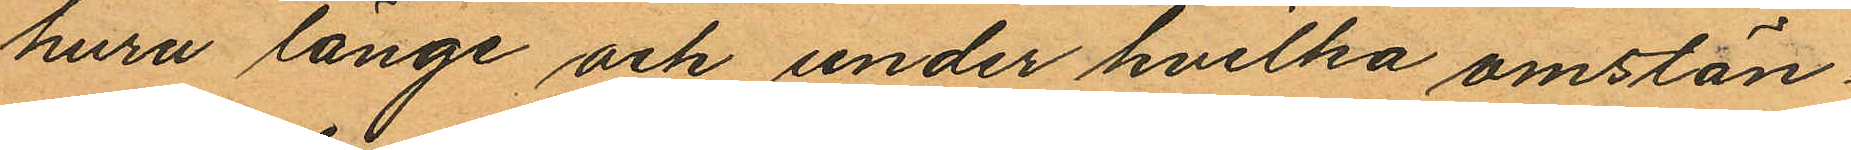huru länge och under hvilka omstän¬
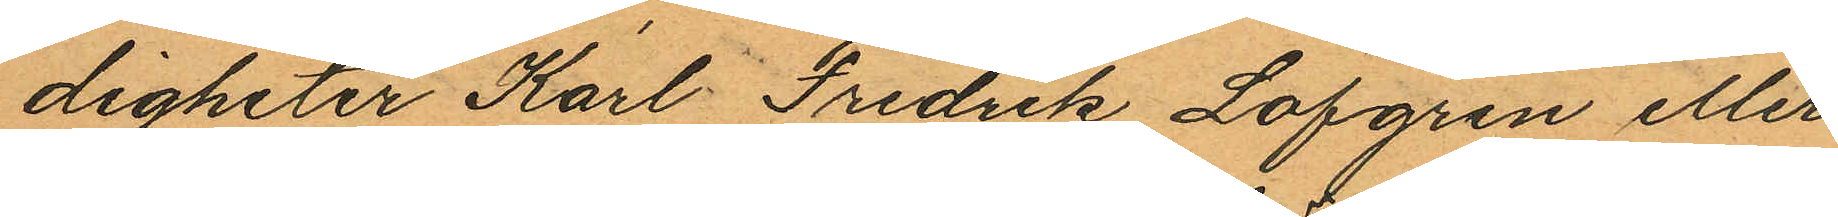digheter Karl Fredrik Löfgren eller
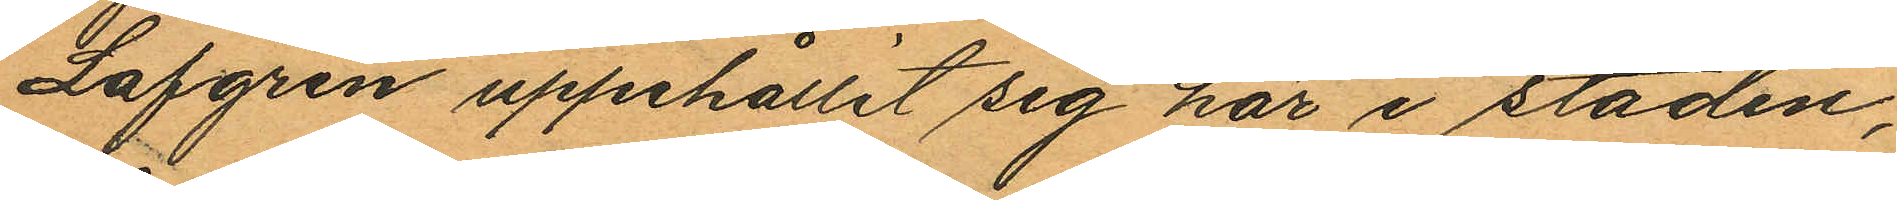Lofgren uppehållit sig här i staden,
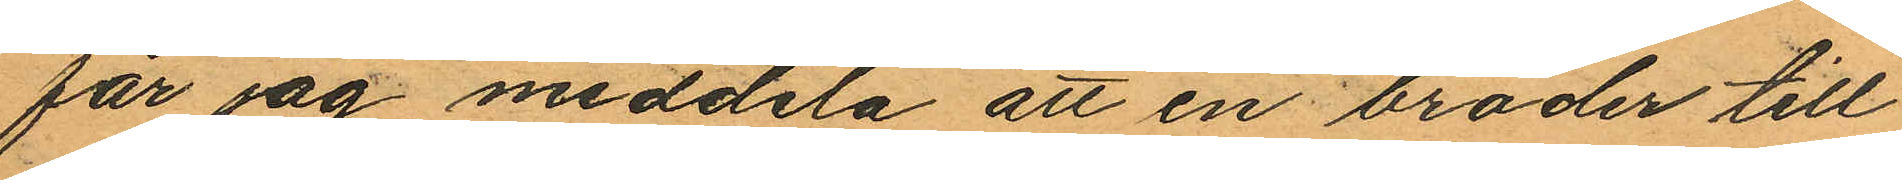får jag meddela att en broder till
